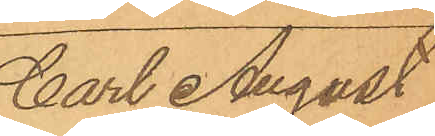Carl August
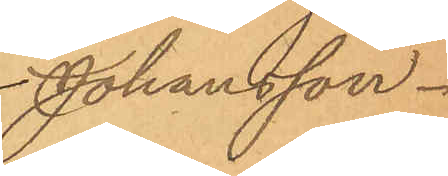Johansson.
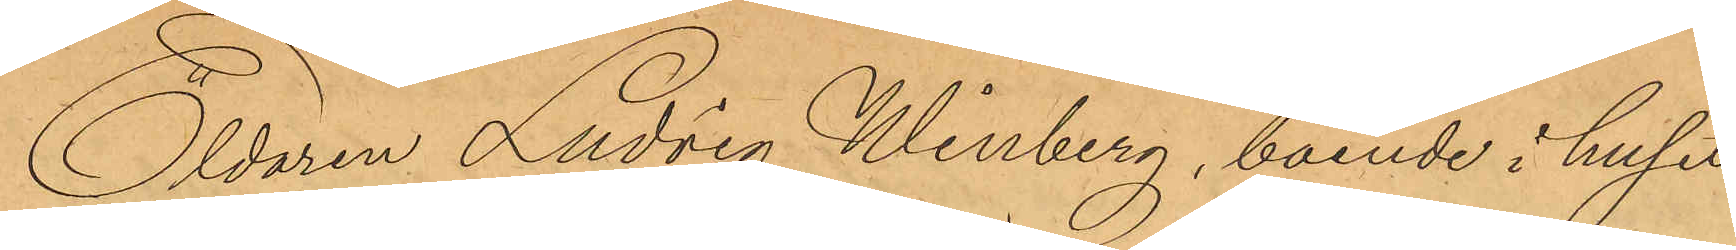Eldaren Ludvig Winberg, boende i huset
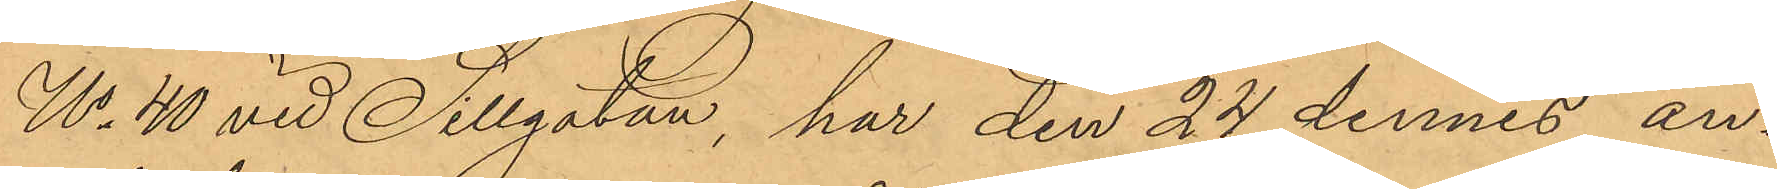No 40 vid Sillgatan, har den 24 dennes an¬
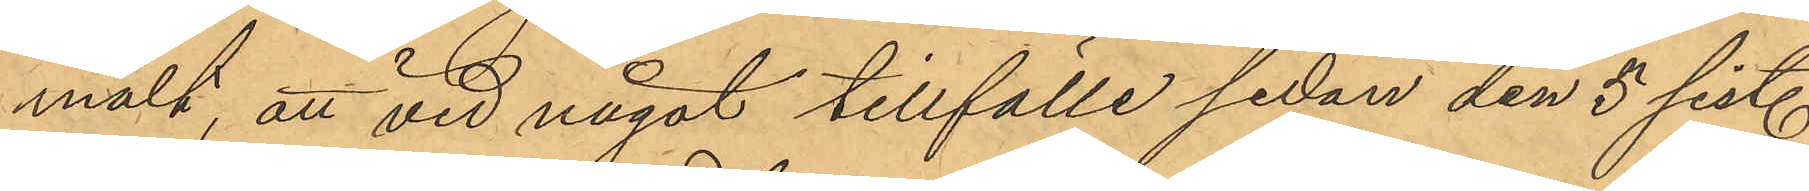mält att vid något tillfälle sedan den 5 sist.
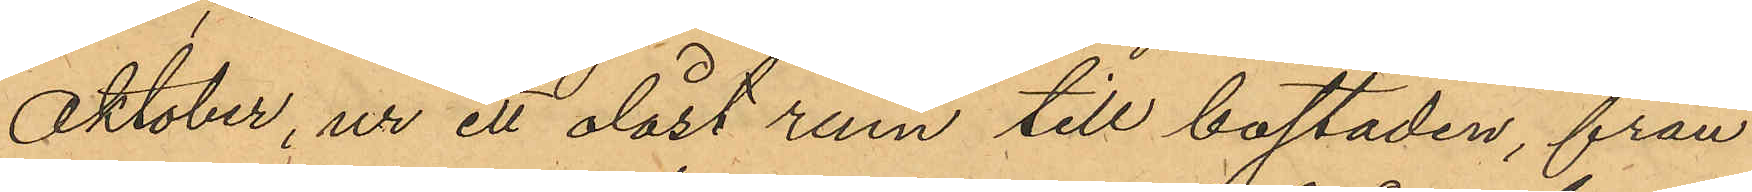Oktober, ur ett olåst rum till bostaden, från
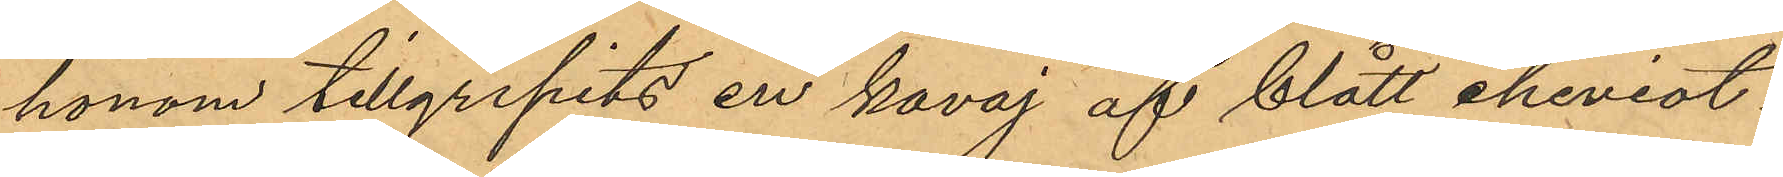honom tillgripits en kavaj af blått cheviot¬
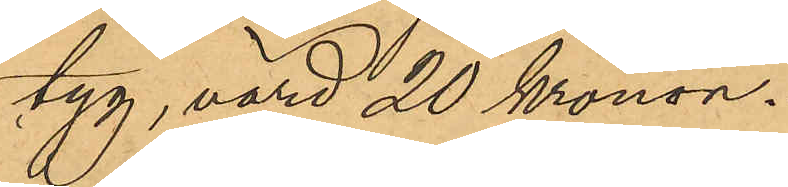tyg, värd 20 Kronor.
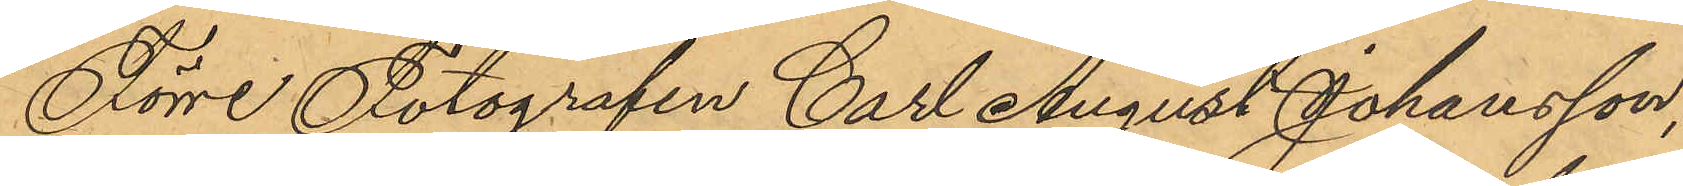Förre Fotografen Carl August Johansson,
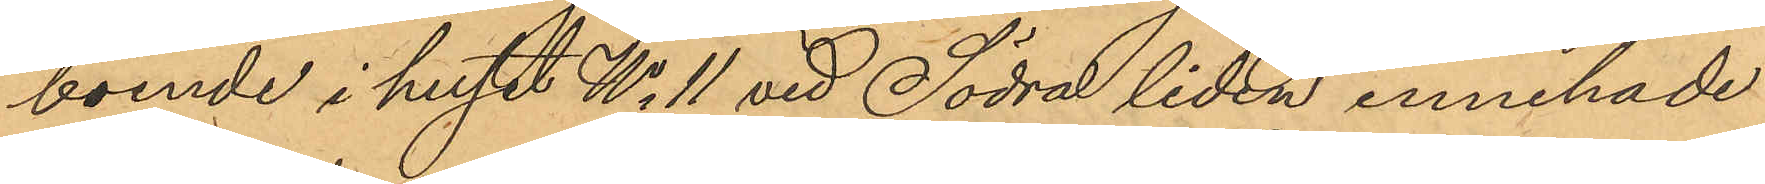boende i huset No 11 vid Södra liden innehade
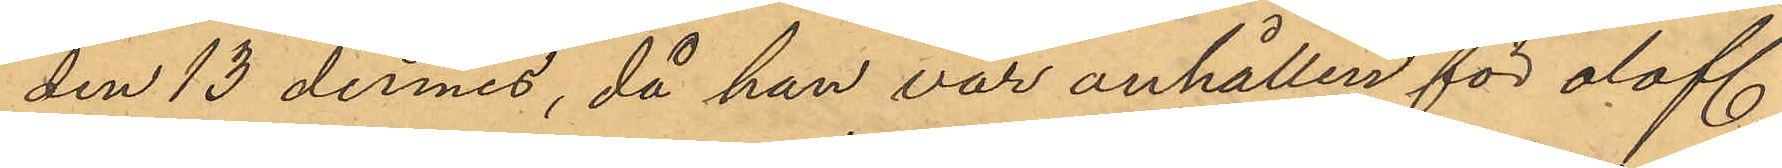den 13 dennes, då han var anhållen för olofl.
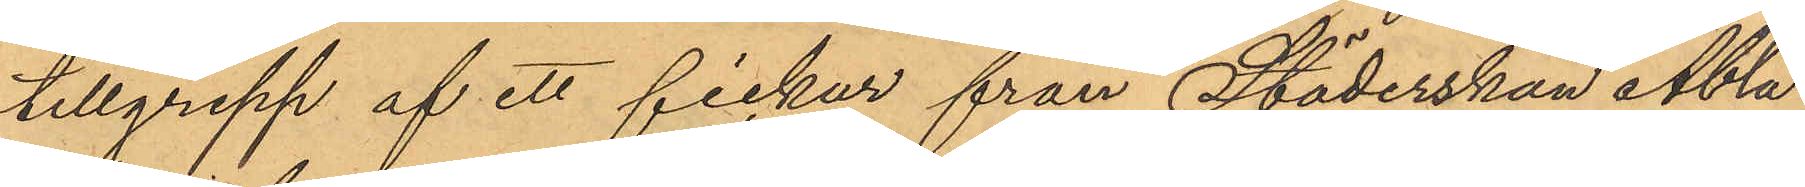tillgrepp af ett fickur från Städerskan Abla
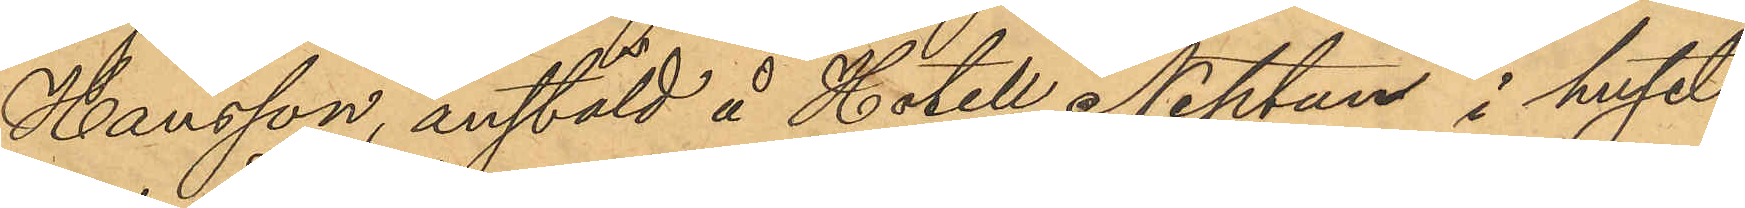Hansson, anstäld å Hotell Neptun i huset
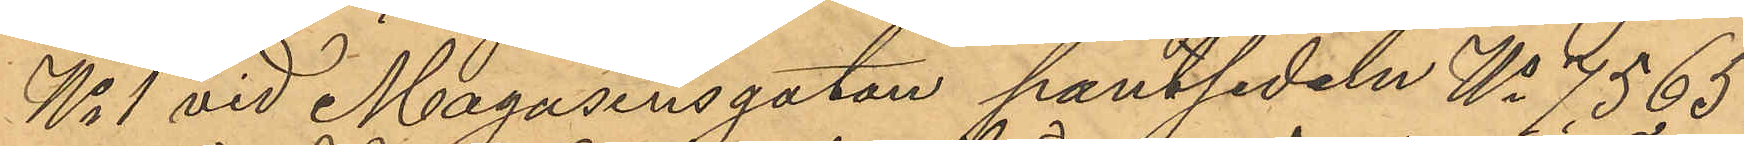No 1 vid Magasinsgatan pantsedeln No 7565
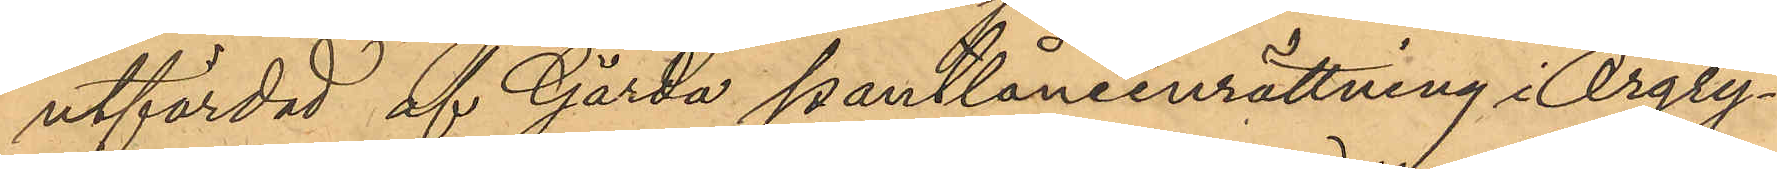utfärdad af Gårda pantlåneinrättning i Örgry¬
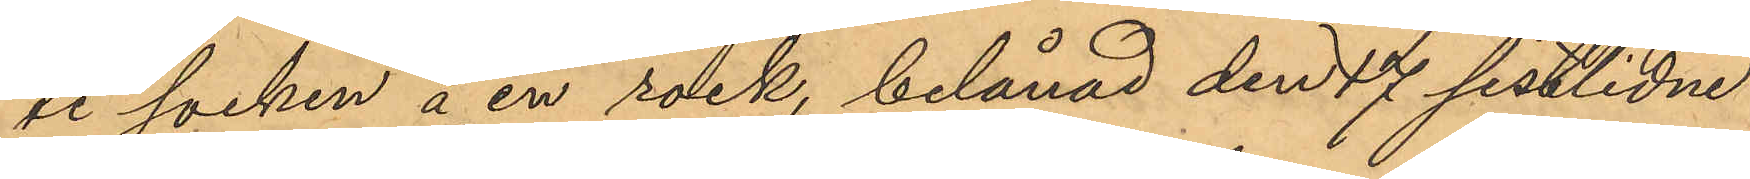te socken å en rock, belånad den 17 sistlidne
